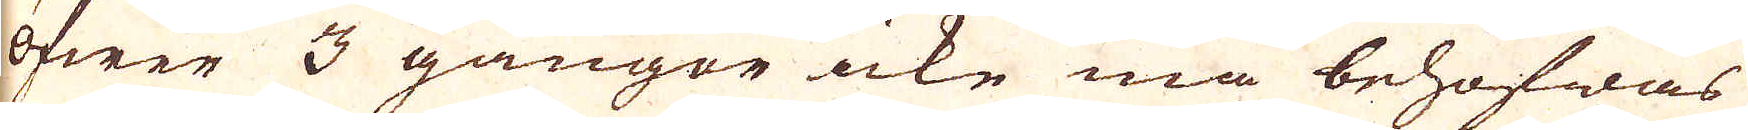öfwer 3 gångor icke må behöfwas
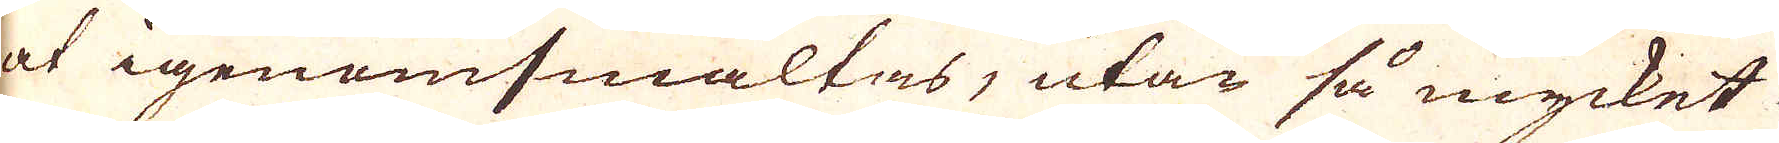at igenomsmältas, utan så mycket
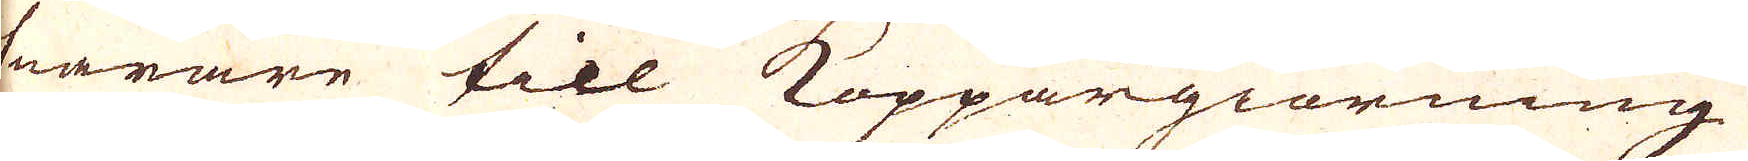snarare till Koppargiörning
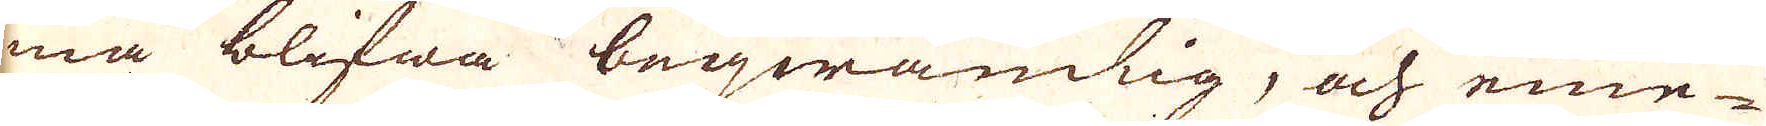må blifwa beqwämlig, och eme-
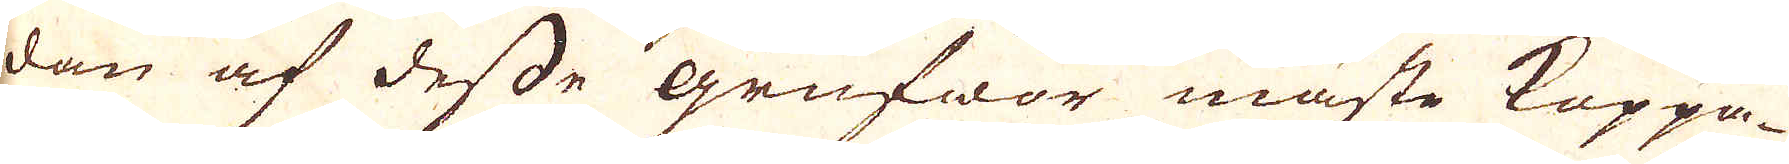dan af desse grufwor måste Koppa-
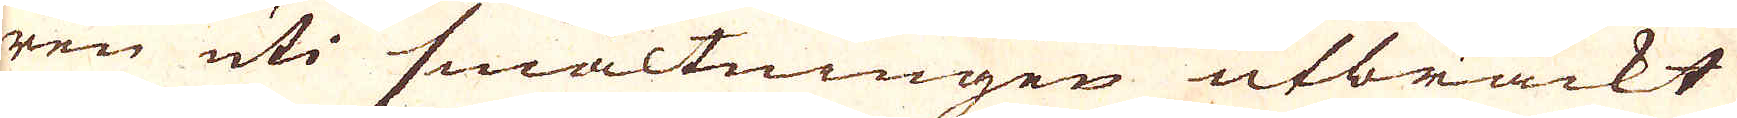ren uti smältningen utbrackt
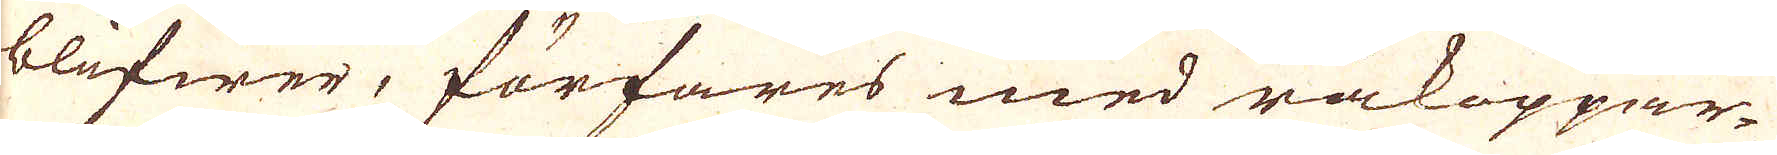blifwer, förfares med råkoppar-
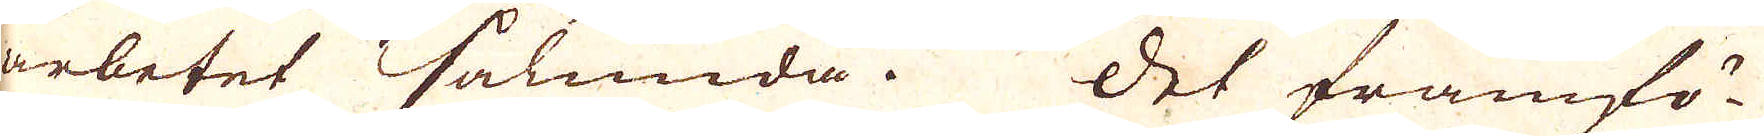arbetet sålunda. Det framfö-
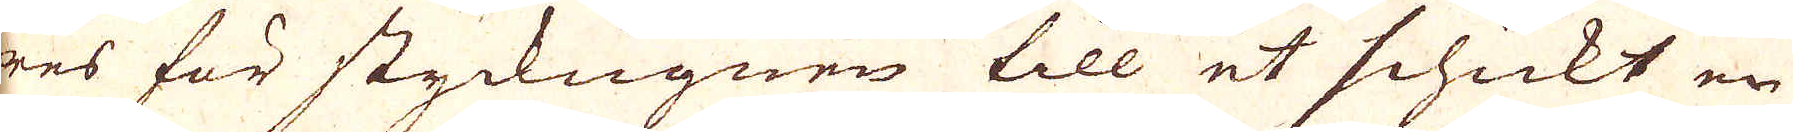res för styckugnen till et schickt en
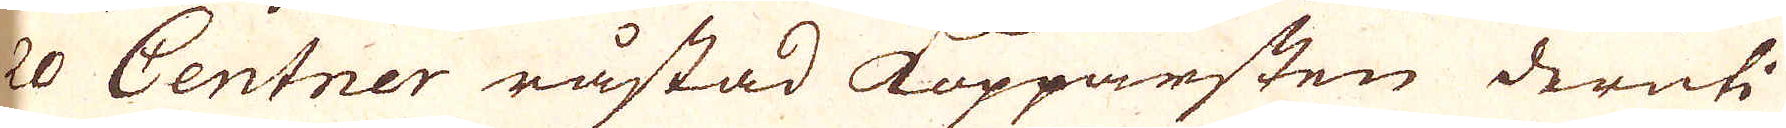20 Centner råstad Kopparsten deruti
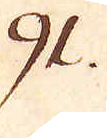91.
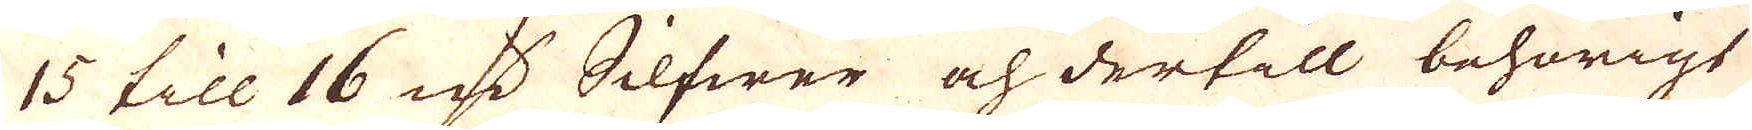15 till 16 qv:r Silfwer och dertill behörigt
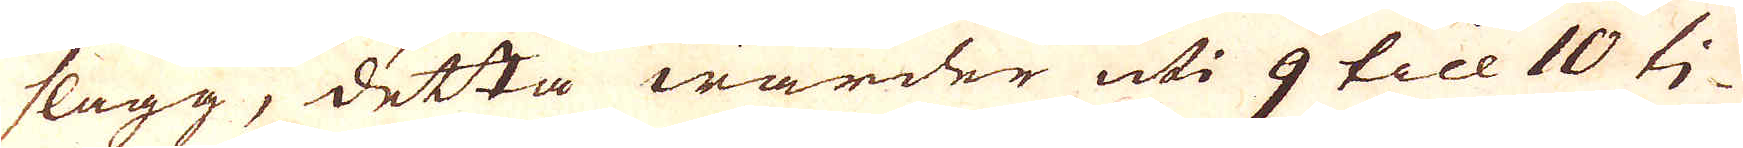slagg, detta warder uti 9 till 10 ti-
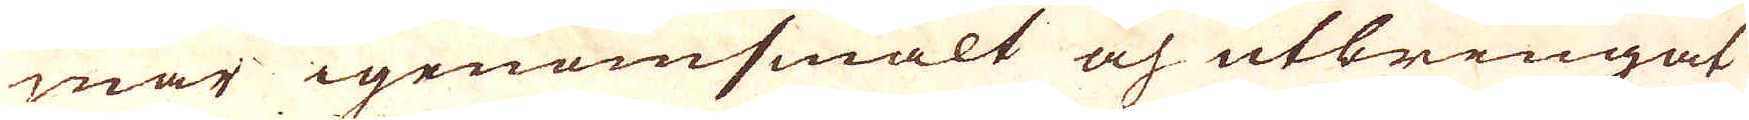mar igenomsmält och utbringat
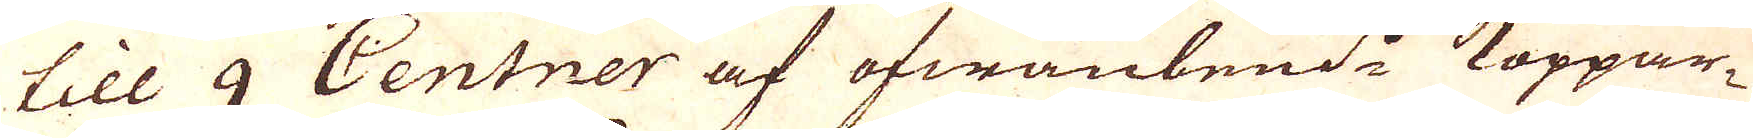till 9 Centner af ofwanbem:t Koppar-
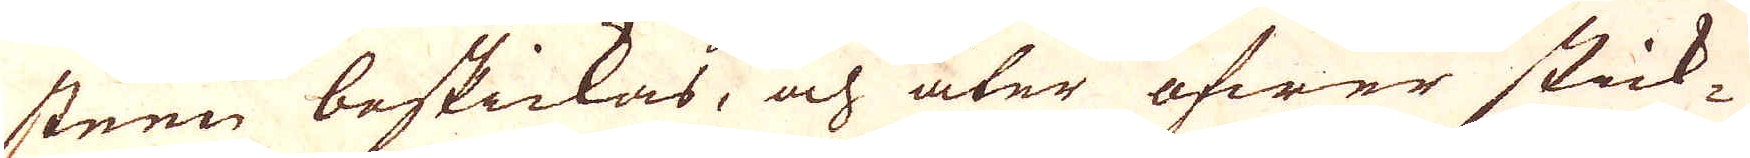steen beskickas, och åter öfwer stick-
